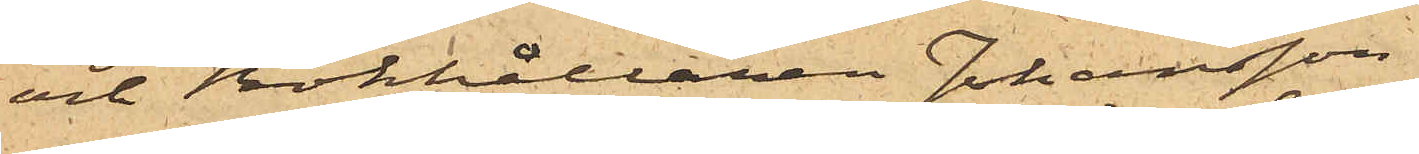och Bokhållaren Johansson
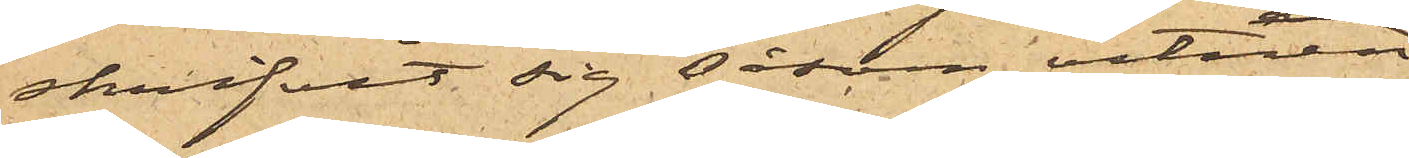skrifvit sig såsom vitnen
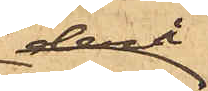derå,
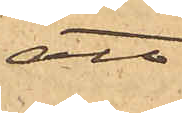att
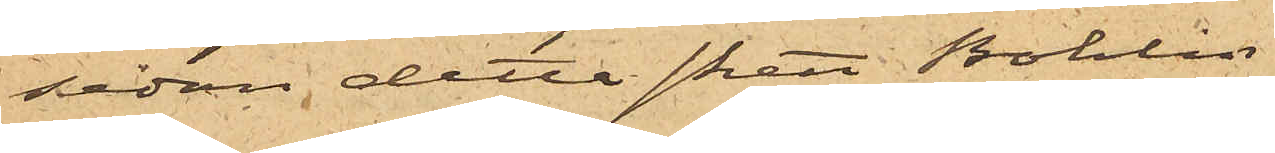sedan detta skett Bohlin
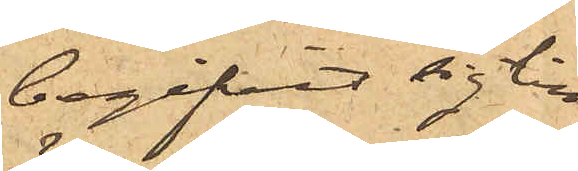begifvit sig till
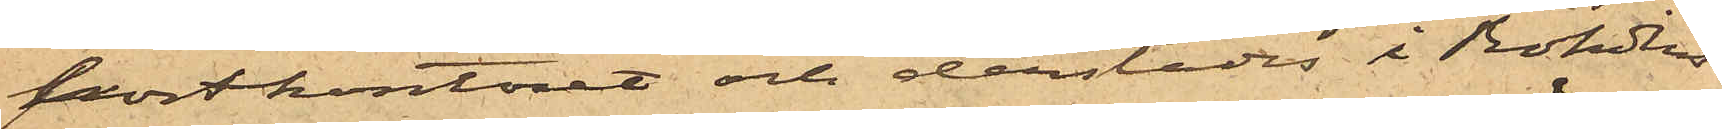postkontoret och derstädes i Rohdins
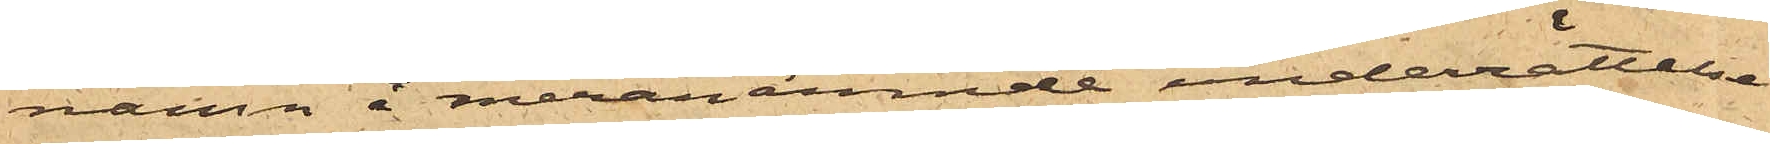namn å meranämnde underrättelse
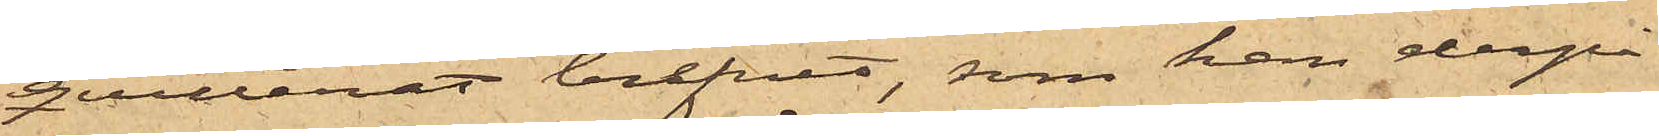qvitterat brefvet, som han derpå
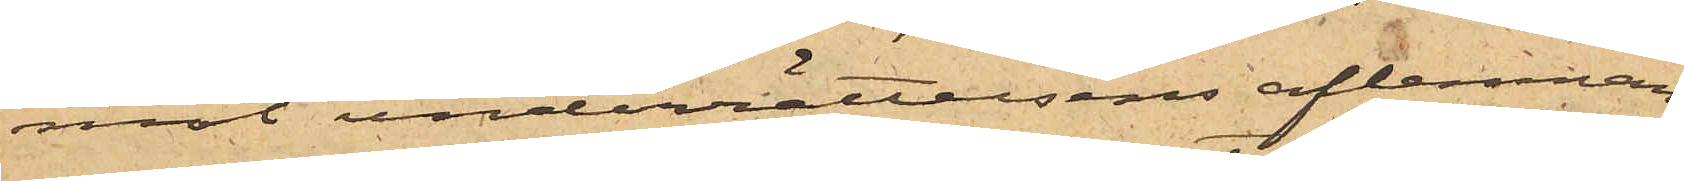mot underrättelsens aflemnan¬
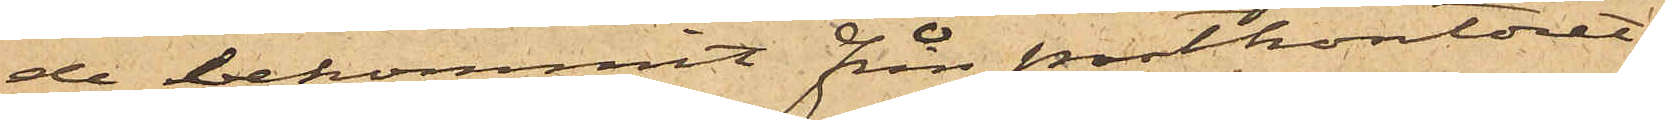de bekommit från postkontoret;
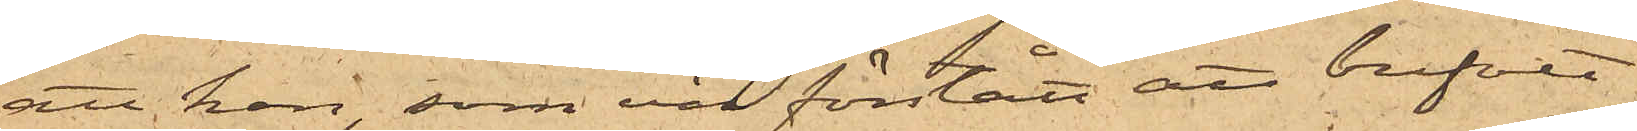att han, som väl förstått att brefvet
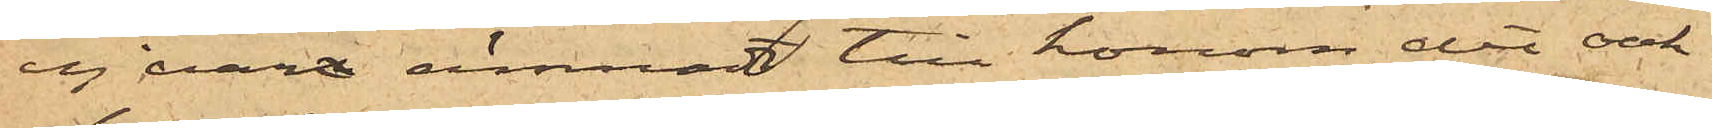ej varit ämnadt till honom, det oak¬
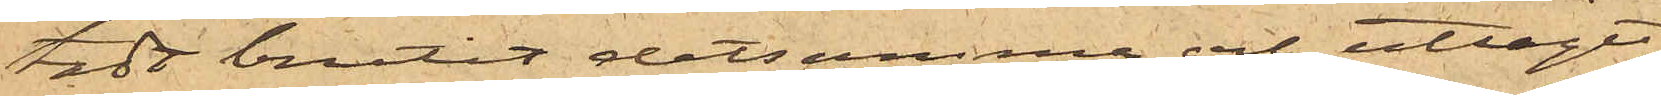tadt brutit detsamma och uttagit
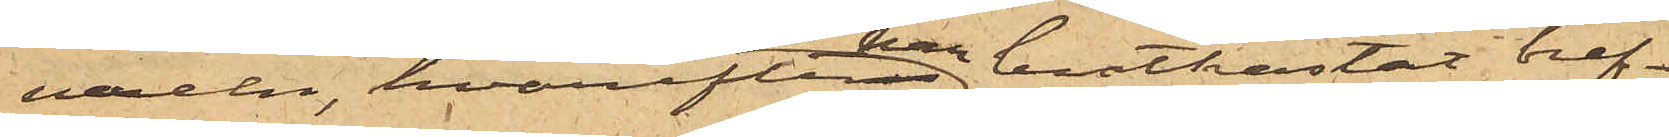vexeln, hvarefter han bortkastat bref¬
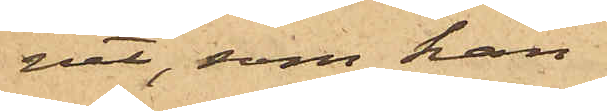vet, som han
